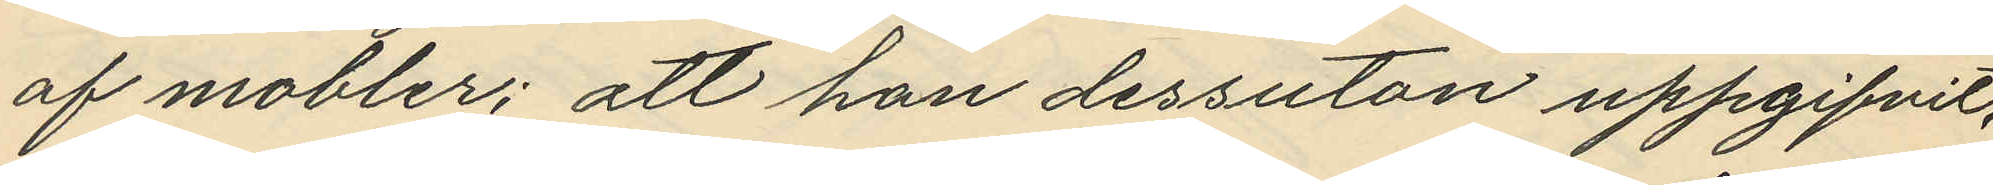af mobler; att han dessutan uppgifvit,
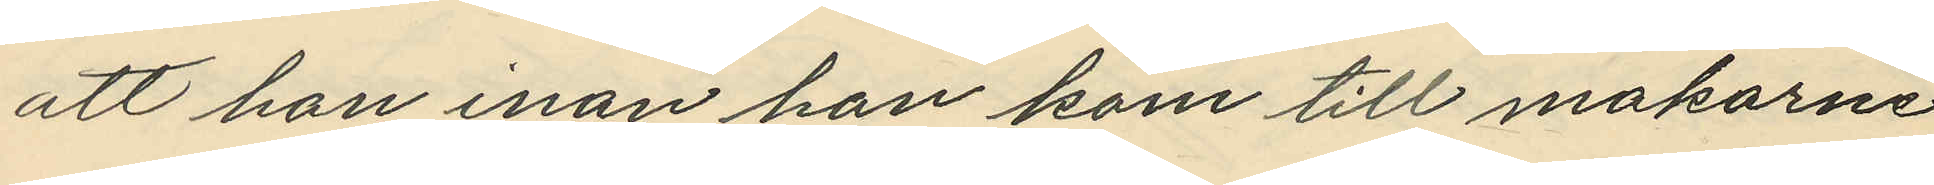att han inan han kom till makarne
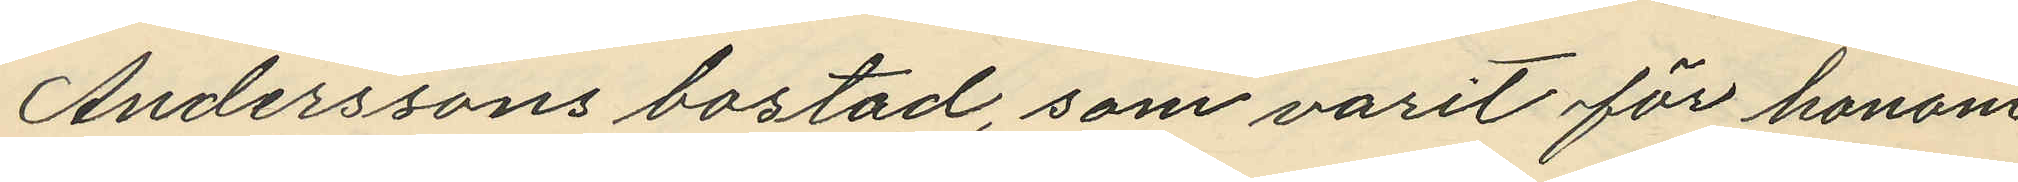Anderssons bostad, som varit för honom
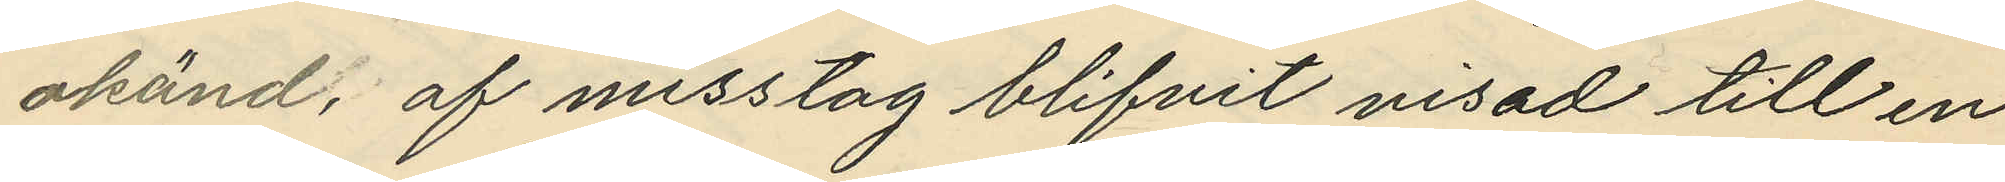okänd, af misstag blifvit visad till en
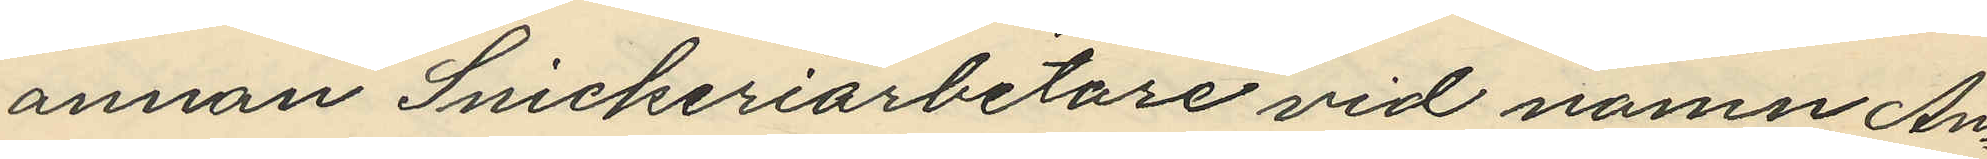annan Snickeriarbetare vid namn An¬
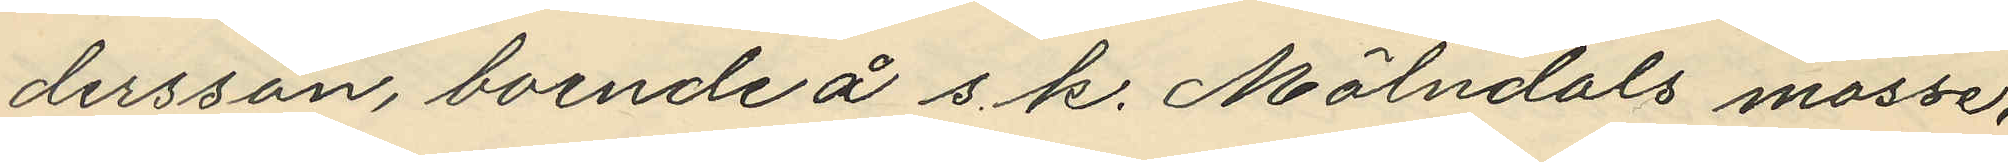dersson, boende å s. k. Mölndals mosse,
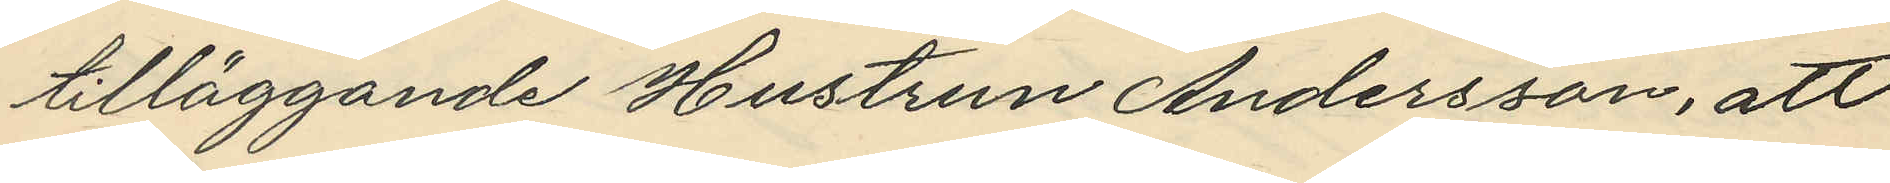tilläggande Hustrun Andersson, att
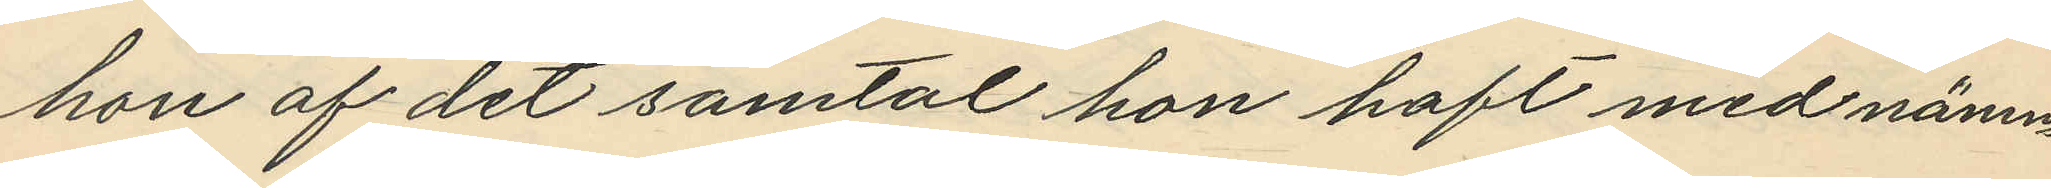hon af det samtal hon haft med nämn¬
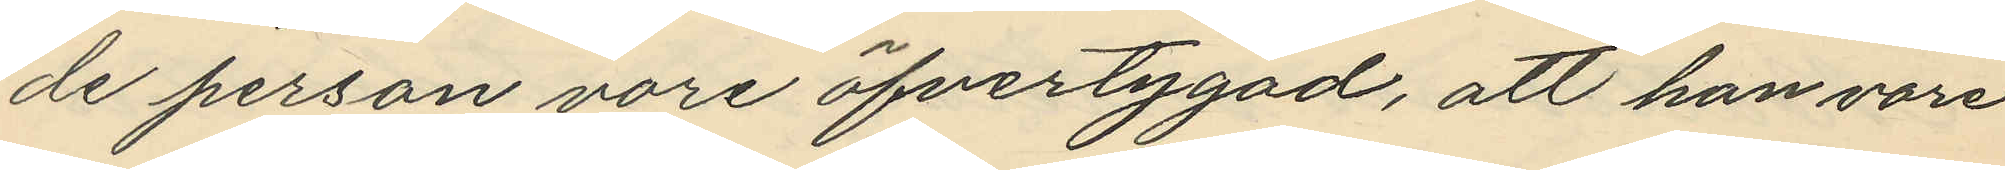de person vore öfvertygad, att han vore
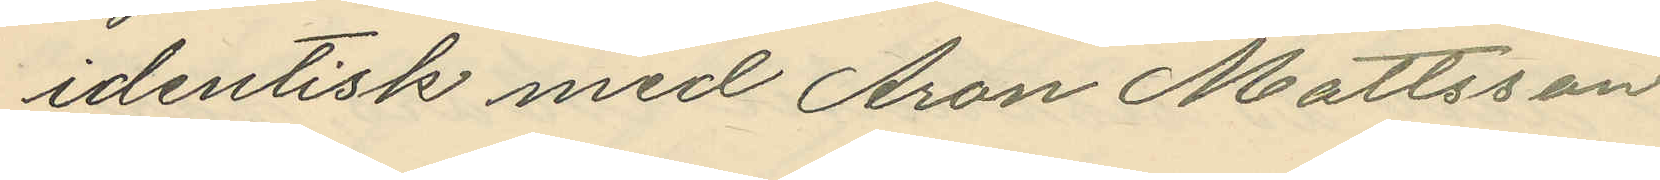identisk med Aron Mattsson
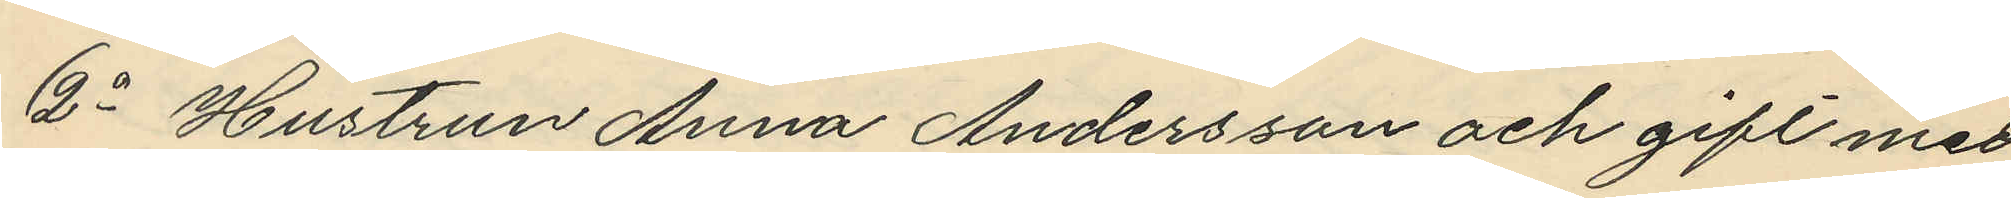2o Hustrun Anna Andersson och gift med
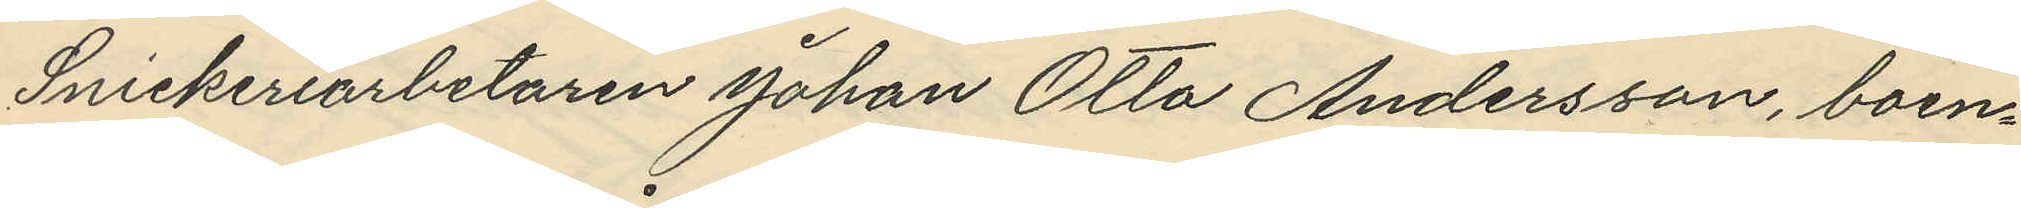Snickeriarbetaren Johan Otto Andersson, boen¬
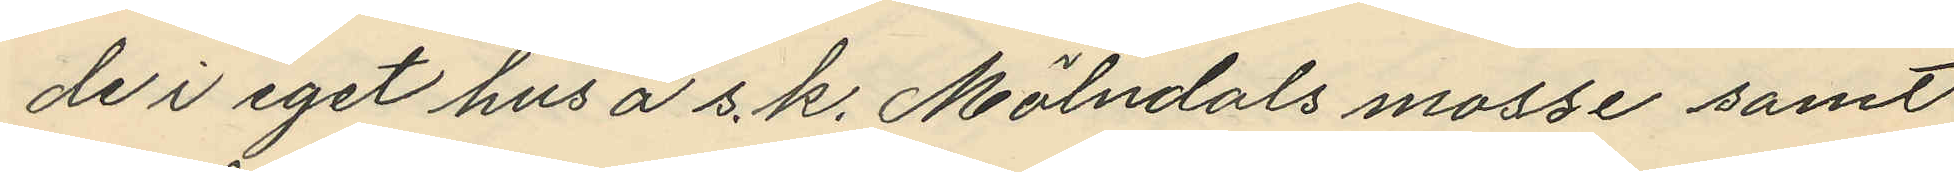de i eget hus å s. k. Mölndals mosse samt
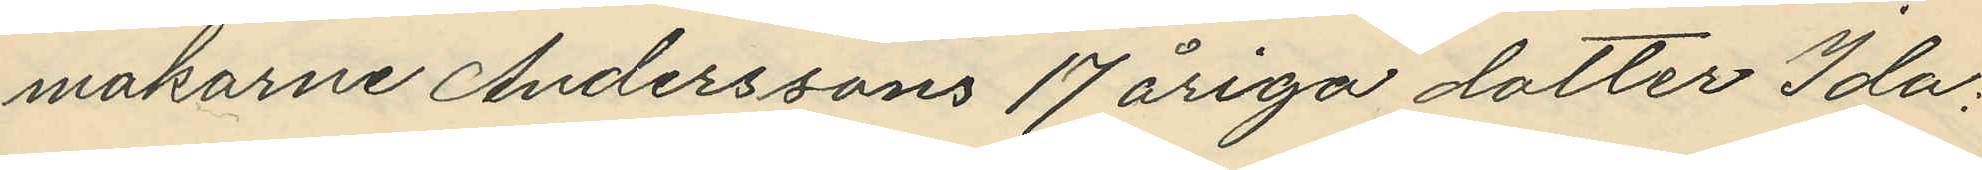makarne Anderssons 17 åriga dotter Ida:
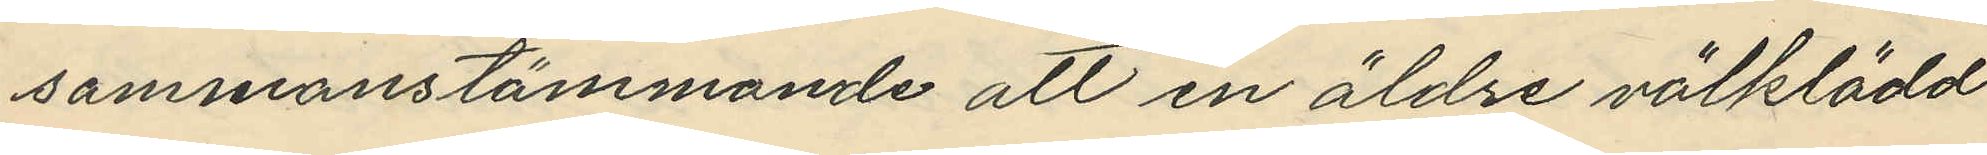sammanstämmande att en äldre välklädd
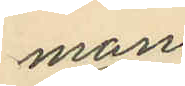mans
